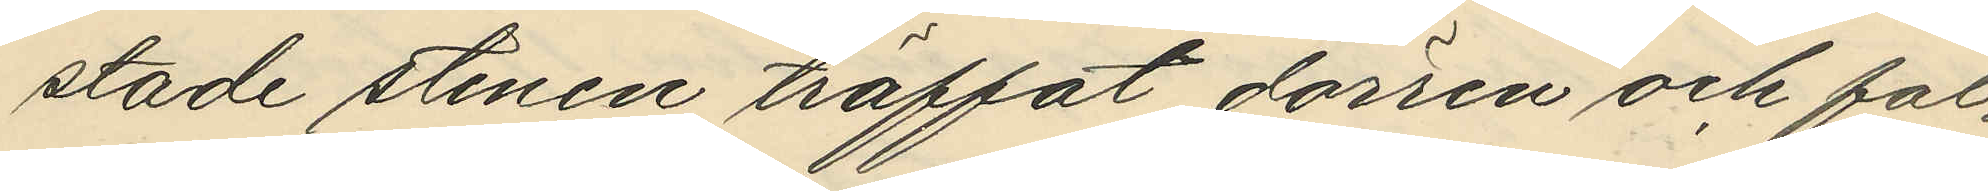stade stenen träffat dörren och fal¬
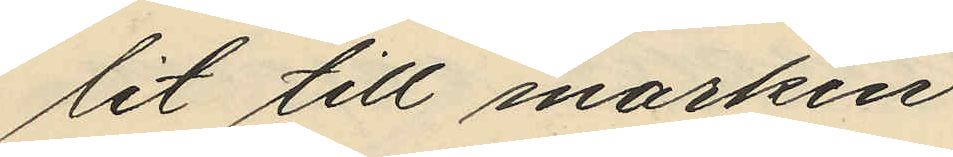lit till marken
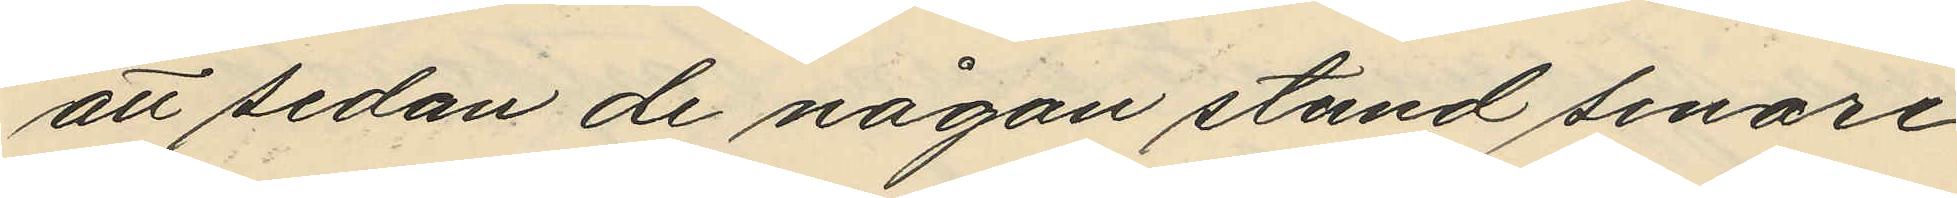att sedan de någon stund senare
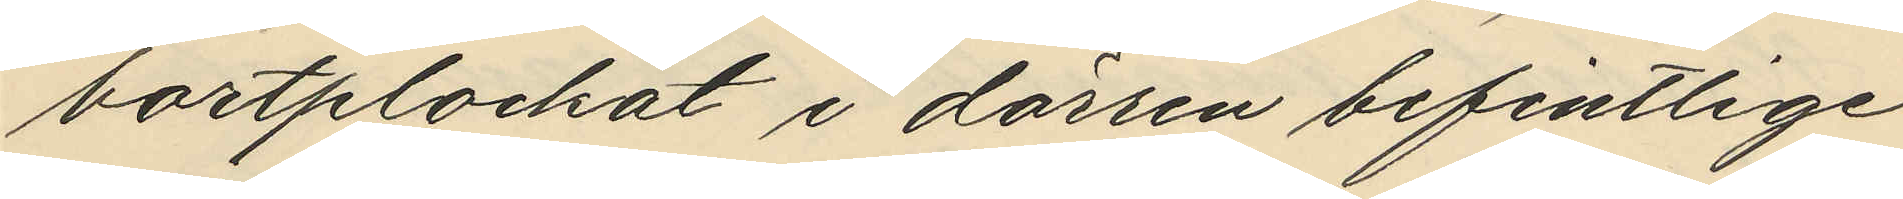bortplockat i dörren befintlige
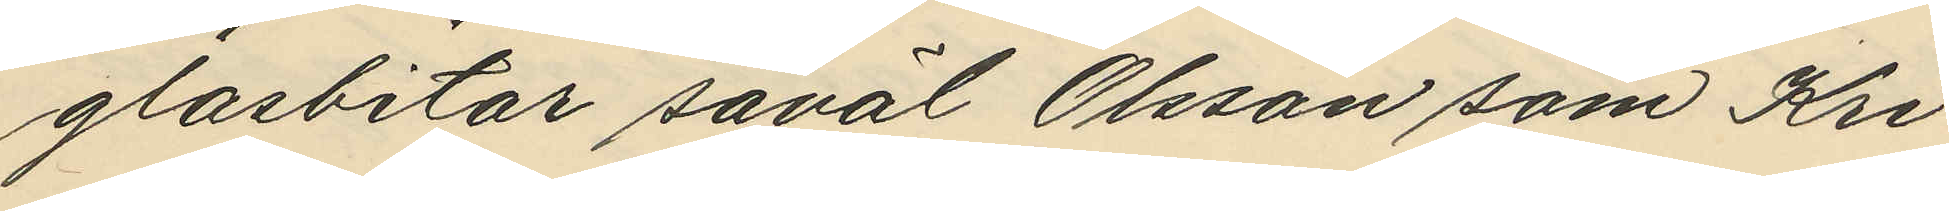glasbitar såväl Olsson som Kri¬
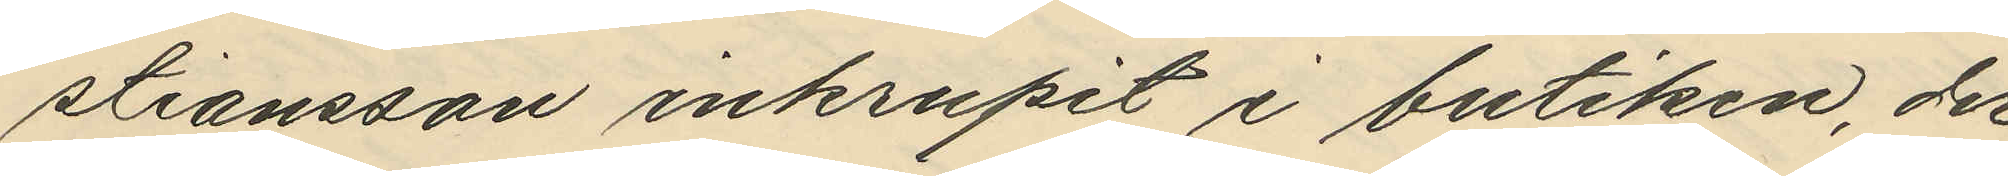stiansson inkrupit i butiken, der
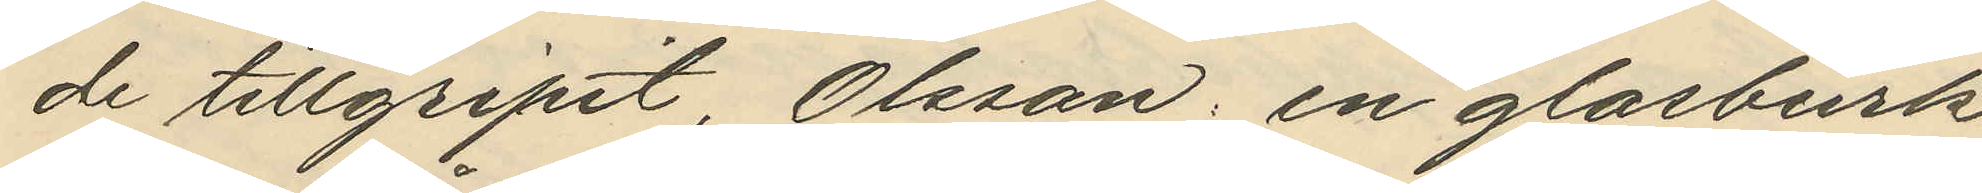de tillgripit, Olsson: en glasburk
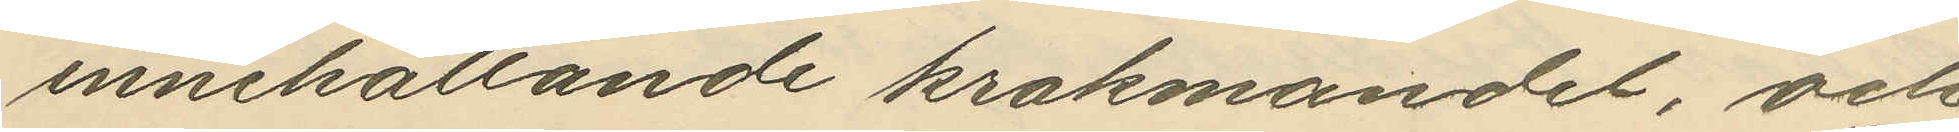innehållande krakmandel, och
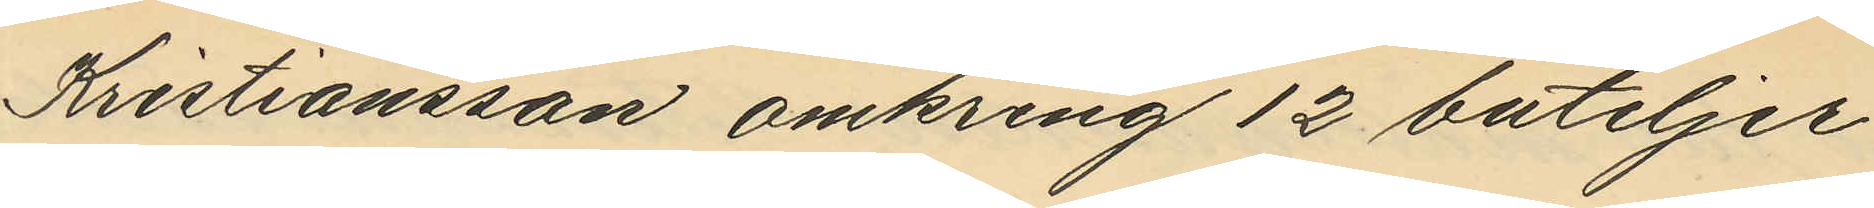Kristiansson omkring 12 buteljer
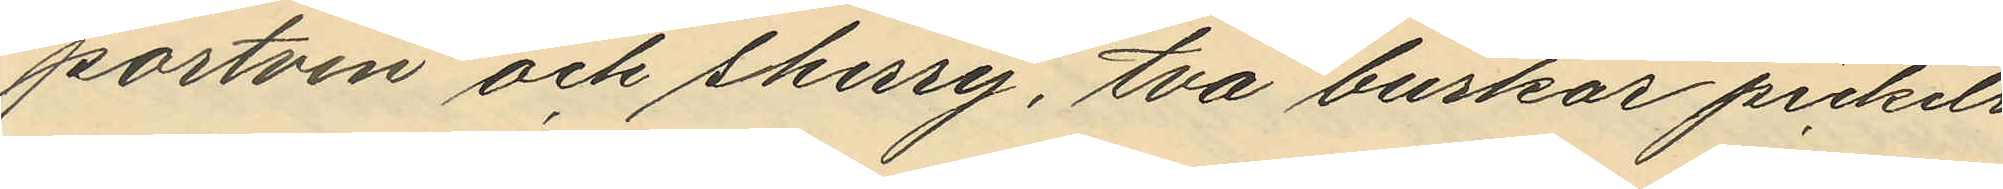portvin och sherry, två burkar pickels
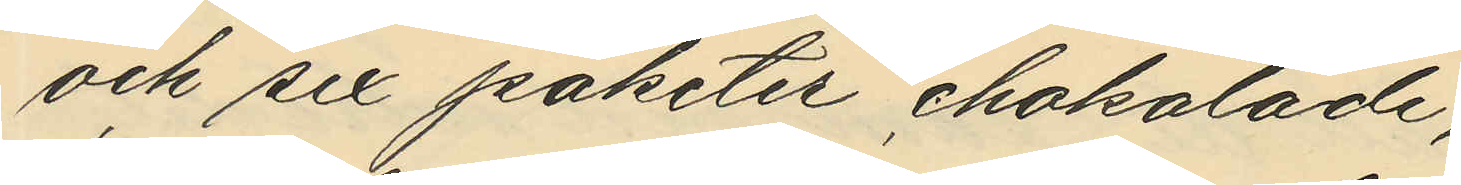och sex paketer chokolade;
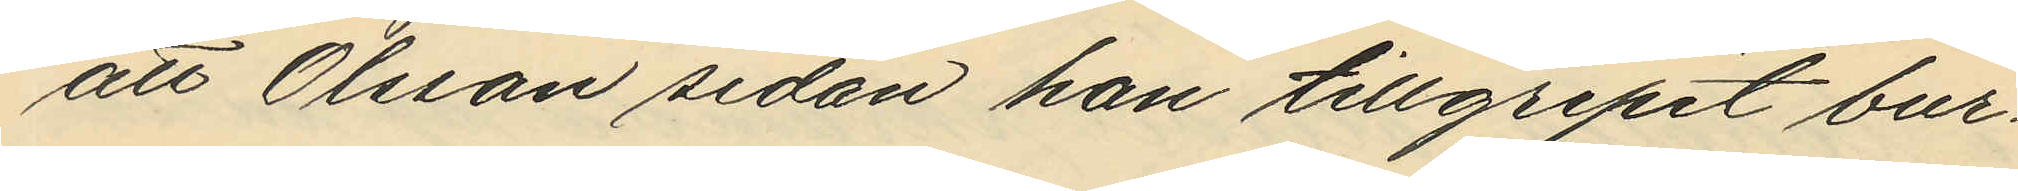att Olsson sedan han tillgripit bur¬
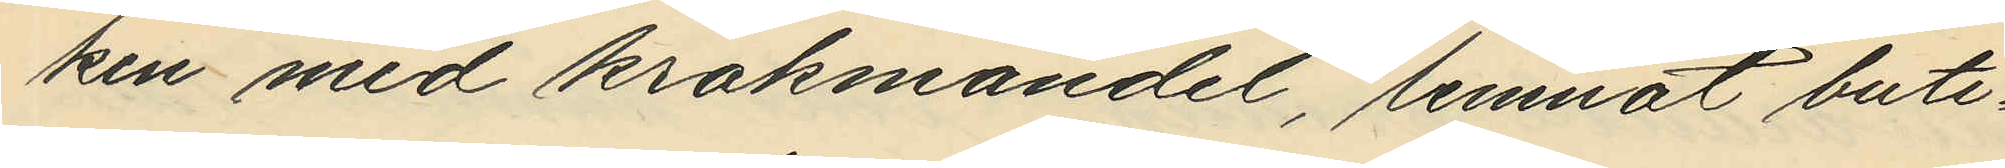ken med krakmandel, lemnat buti¬
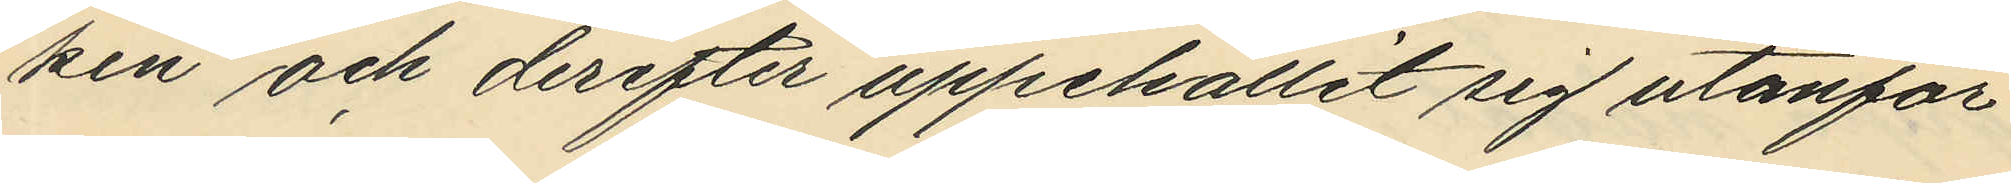ken och derefter uppehållit sig utanför
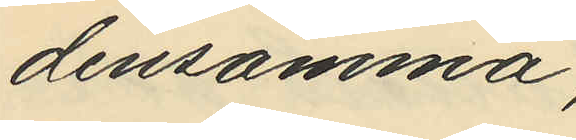densamma;
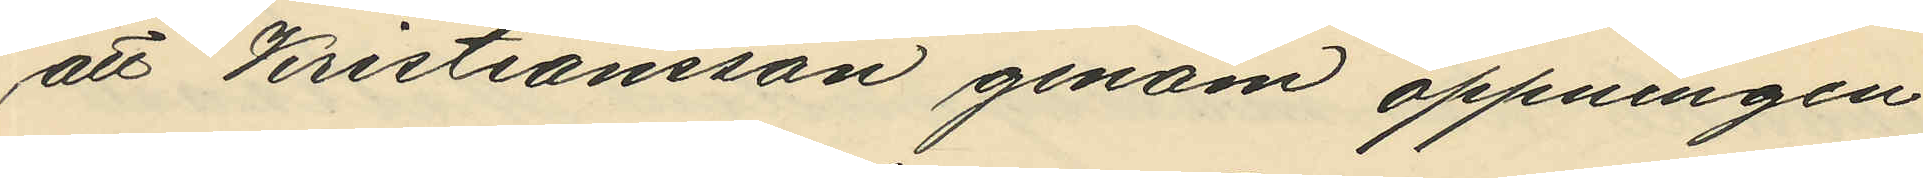att Kristiansson genom öppningen
